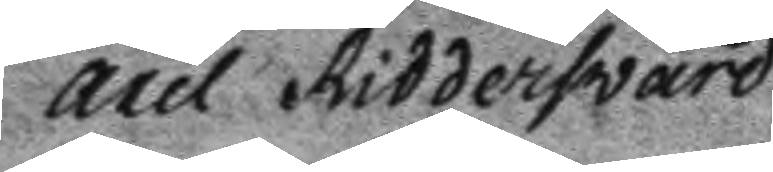axel Ridderswärd
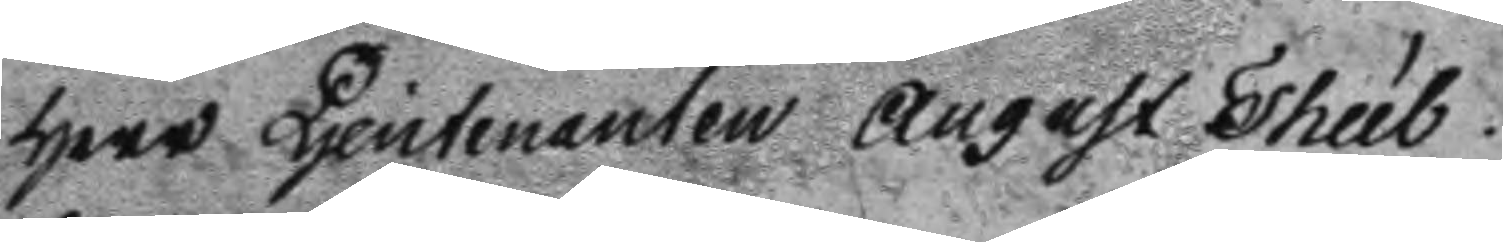Herr Ljeutenanten August Theél.
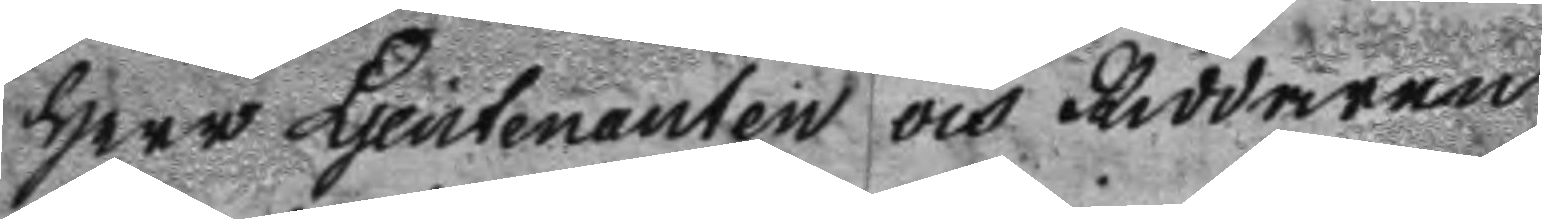Herr Ljeutenanten och Riddaren
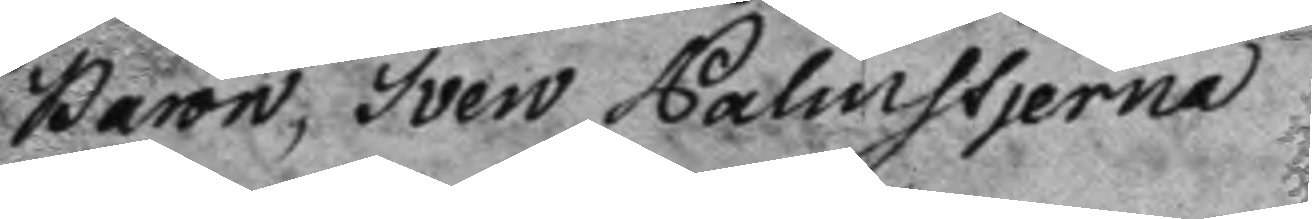baron, Sven Palmstjerna
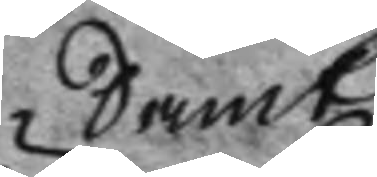Samt
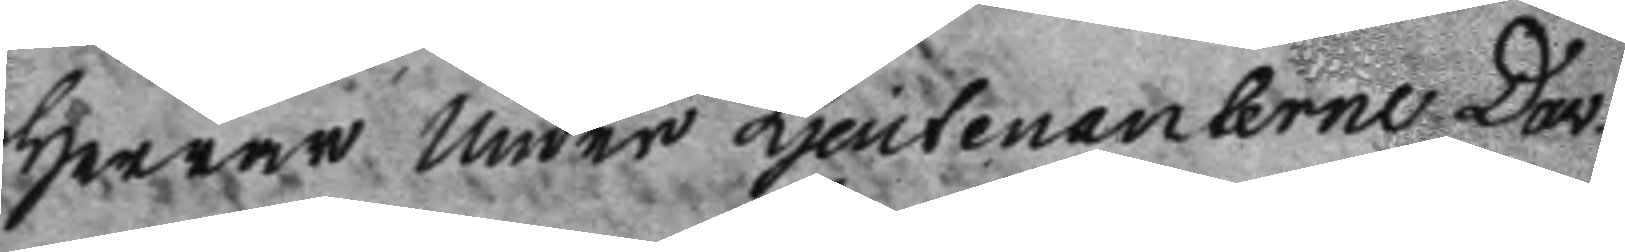Herrar Under Ljeutenanterne Dav.
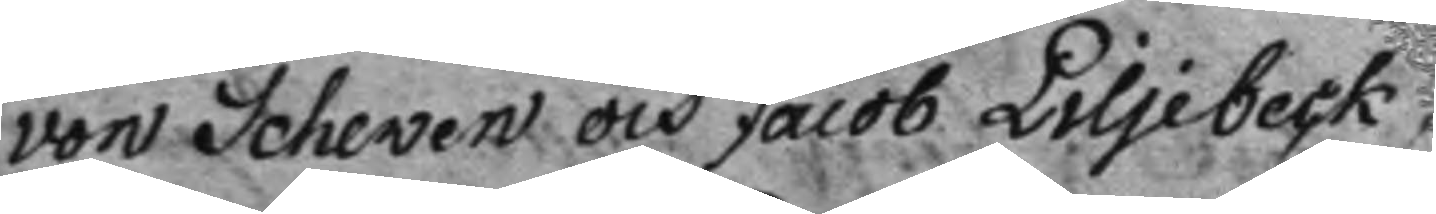von Schewen och Jacob Liljebeck.
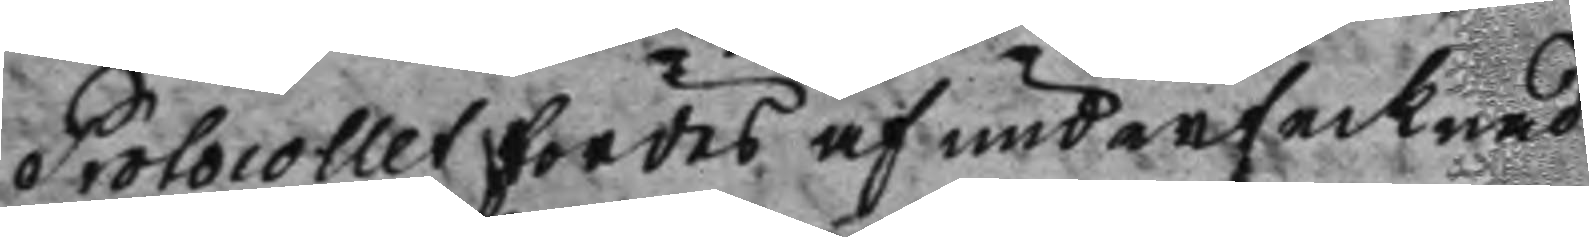Protocollet fördes af undertecknad
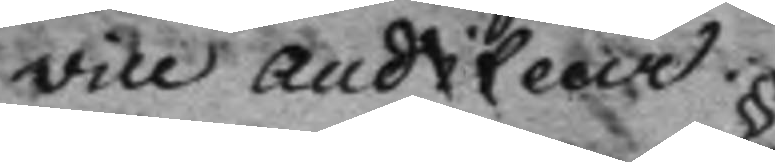vice auditeur.
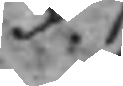§.1.
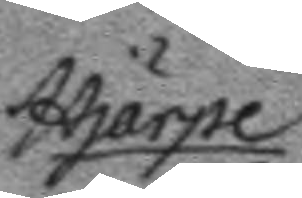Hjärpe 
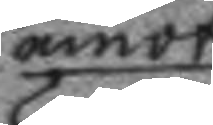emot
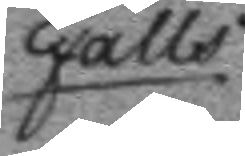Falls.
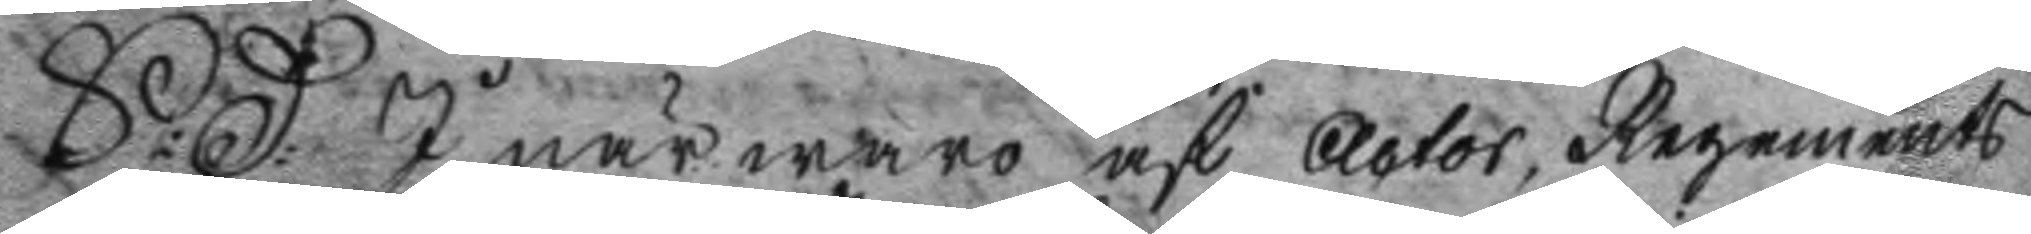S:D: I närwaro af Actor, Regements
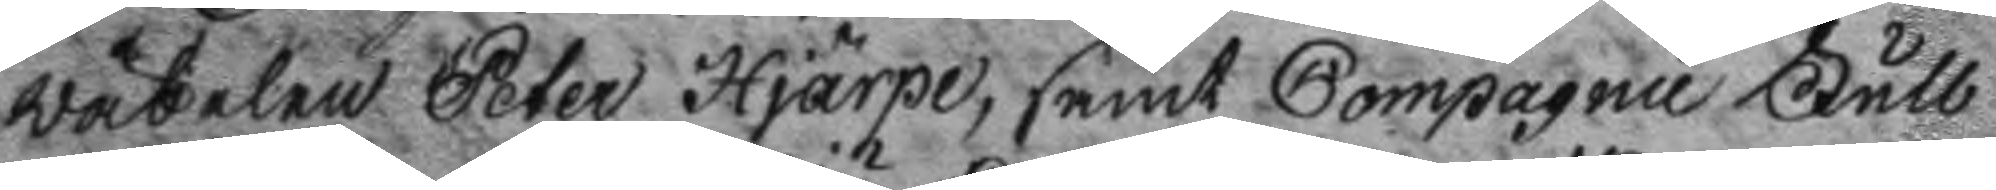wäbelen Peter Hjärpe, samt Compagnie Full
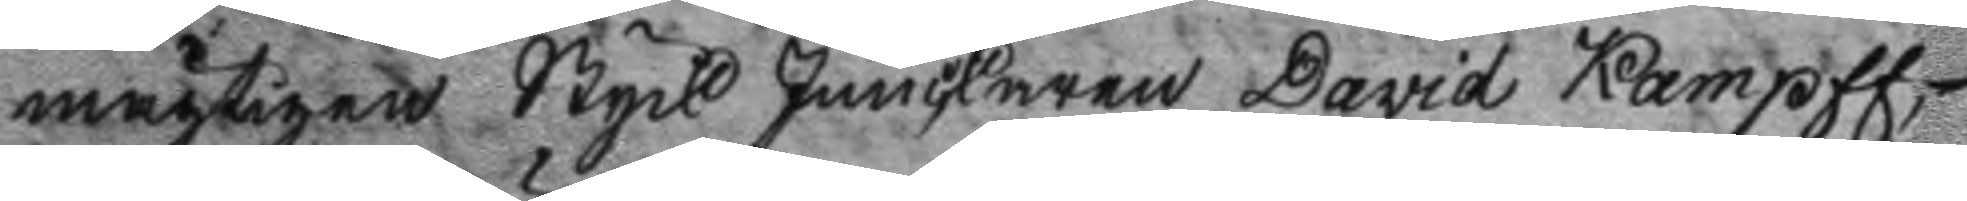mägtigen Styck Junckaren David Kampff,
